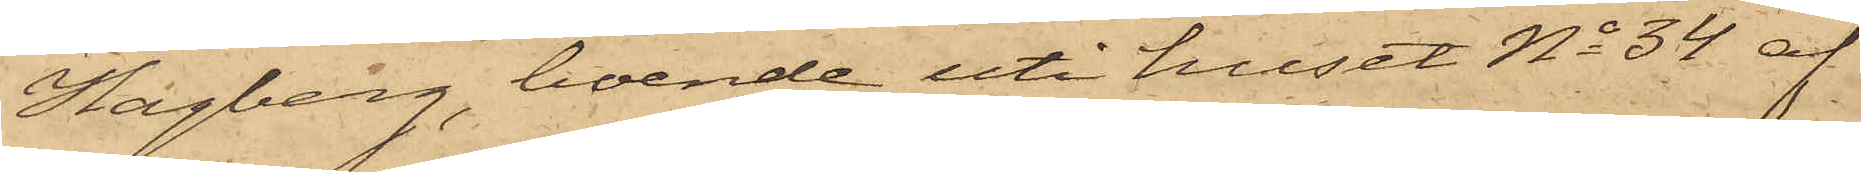Hagberg, boende uti huset No 34 af
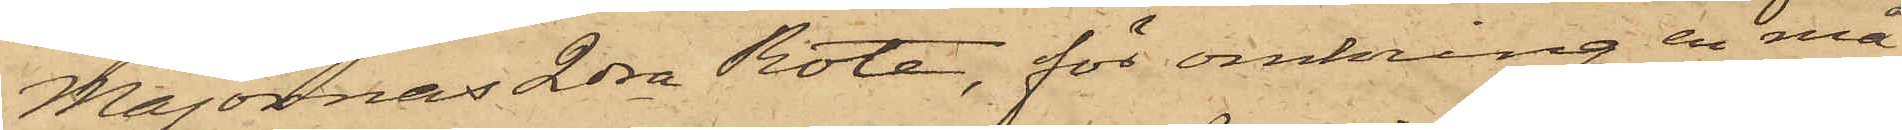Majornas 2dra Rote, för omkring en må¬
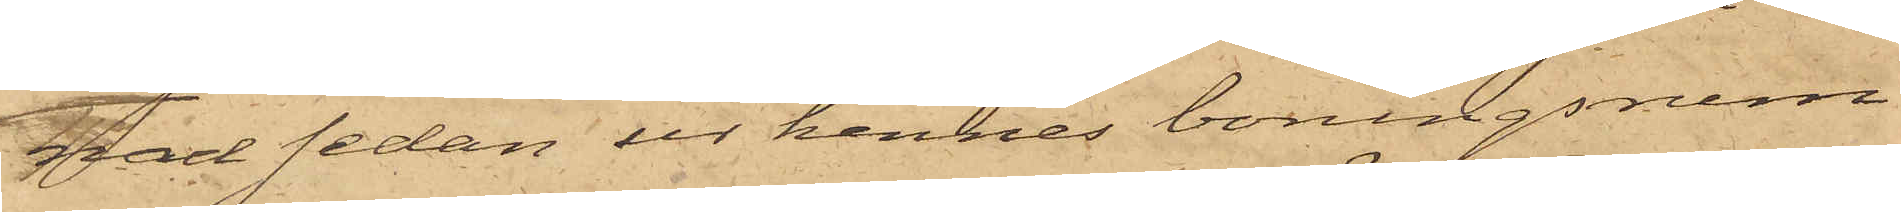nad sedan ur hennes boningsrum
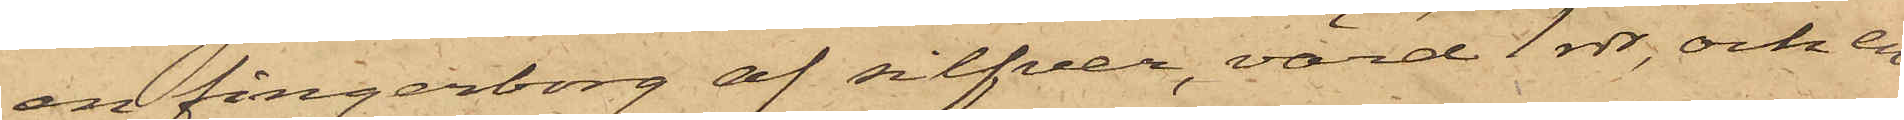en fingerborg af silfver, värd 1 rdr, och en
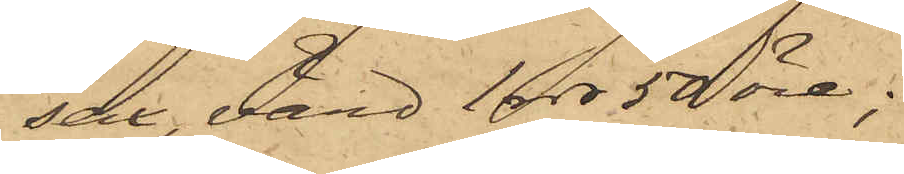sax, värd 1 rdr 50 öre;
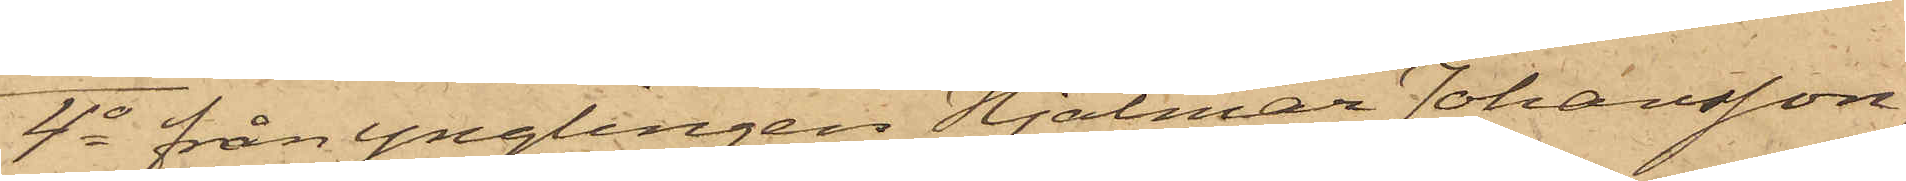4o från Ynglingen Hjalmar Johansson,
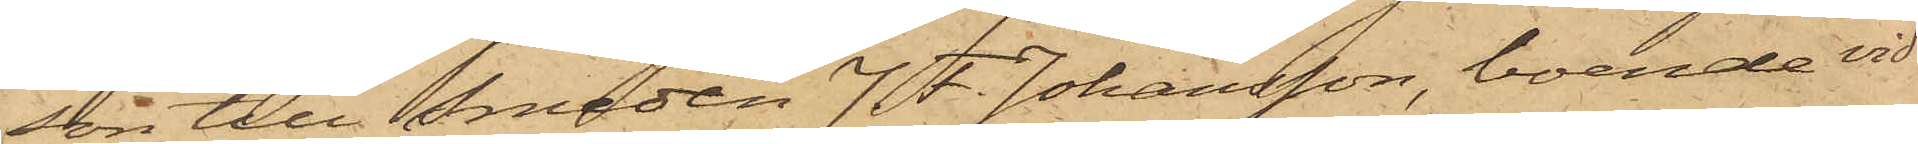son till Smeden J. F. Johansson, boende vid
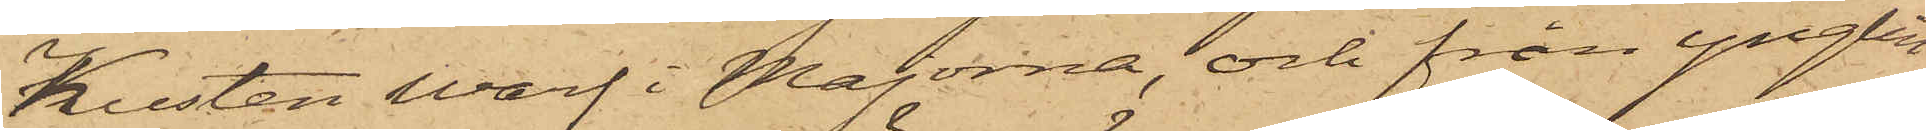Kusten Warf i Majorna, och från ynglin¬
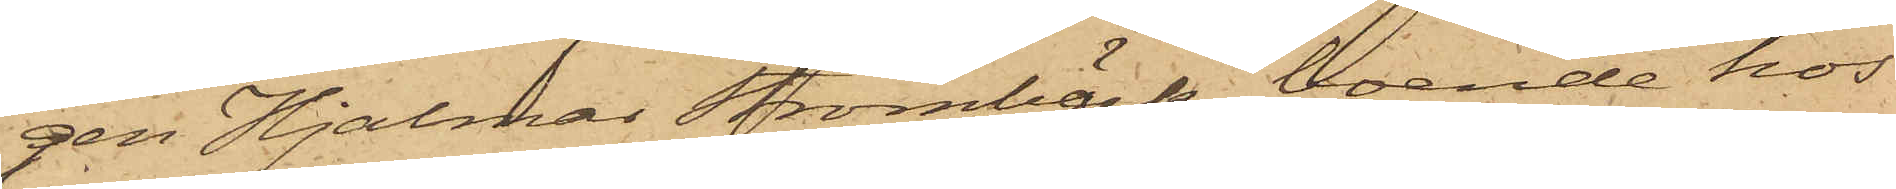gen Hjalmar Strömbäck, boende hos
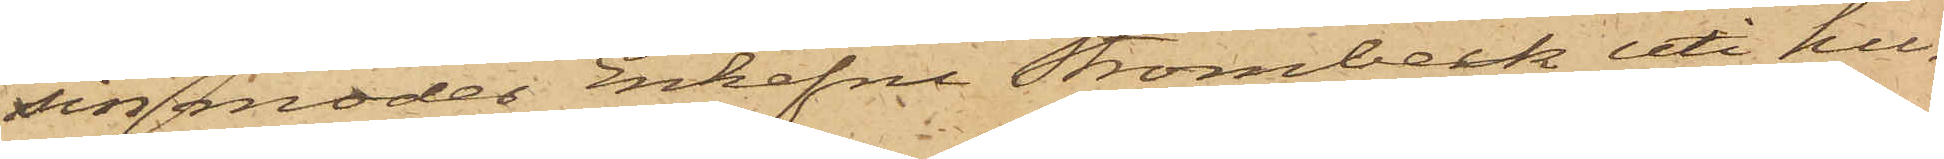sin moder Enkefru Strömbeck uti hu¬
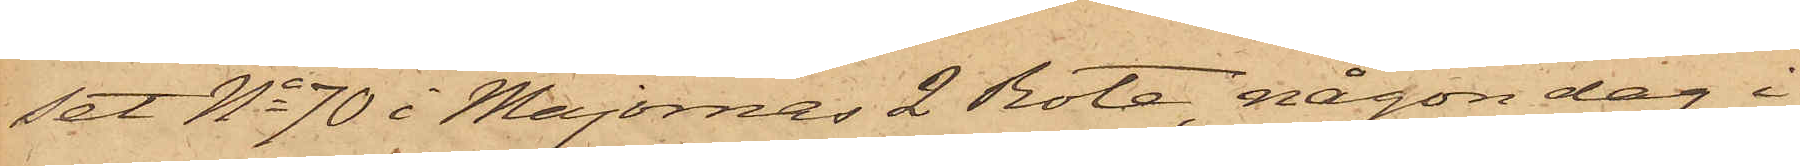set No 70 i Majornas 2 Rote, någon dag i
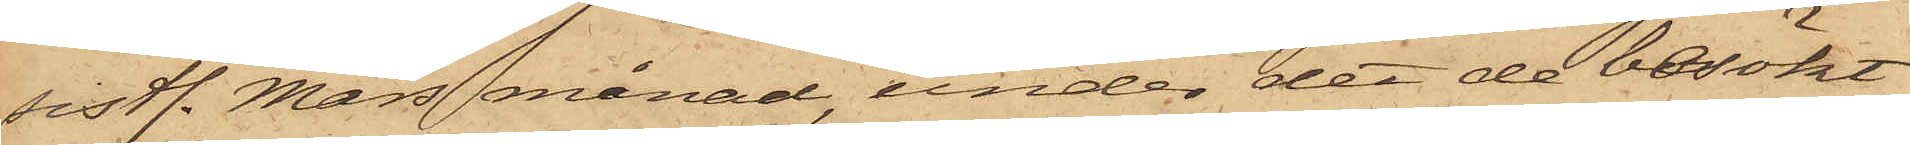sistl. Mars månad, under det de besökt
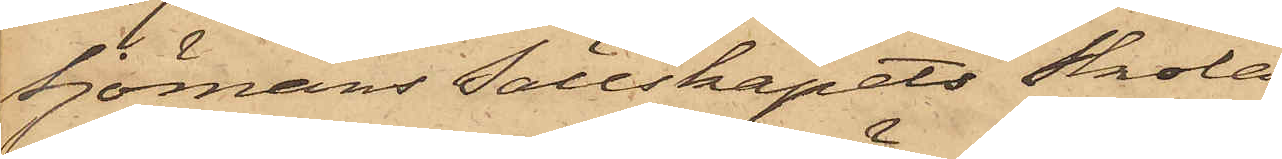Sjömans Sällskapets Skola,
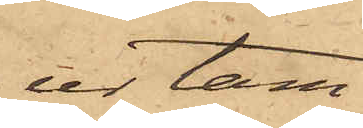ur tam¬
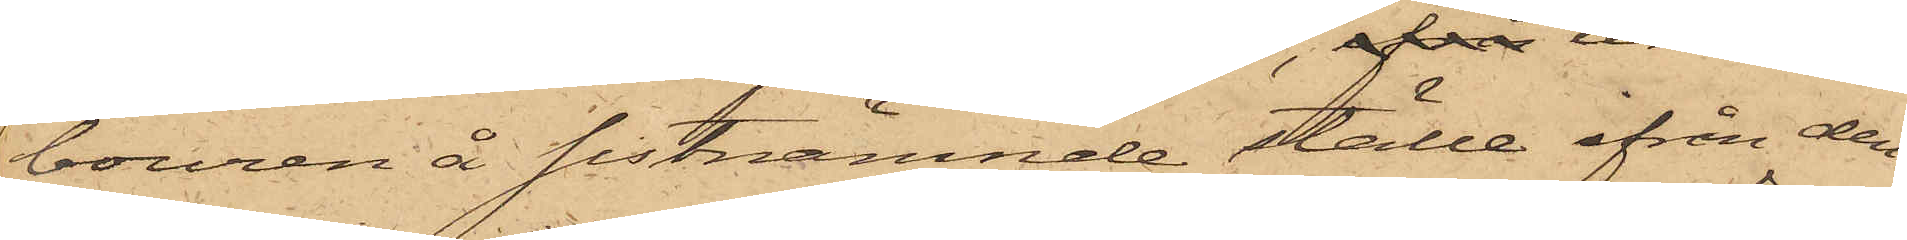bouren å sistnämnde ställe ifrån den
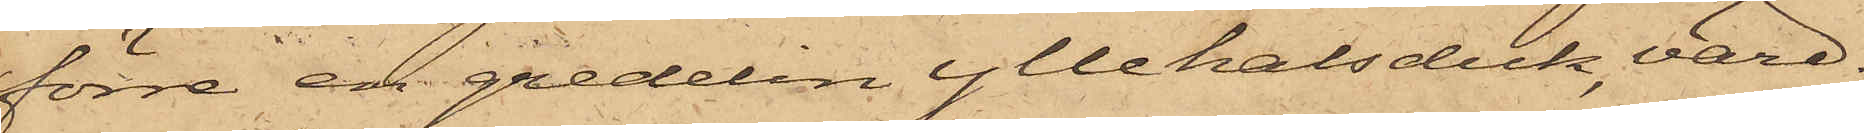förre en gredelin yllehalsduk, värd
